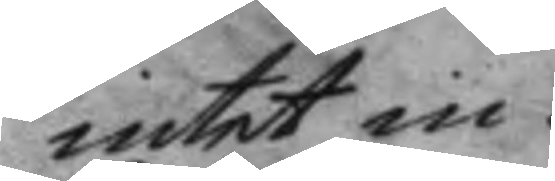intet in.
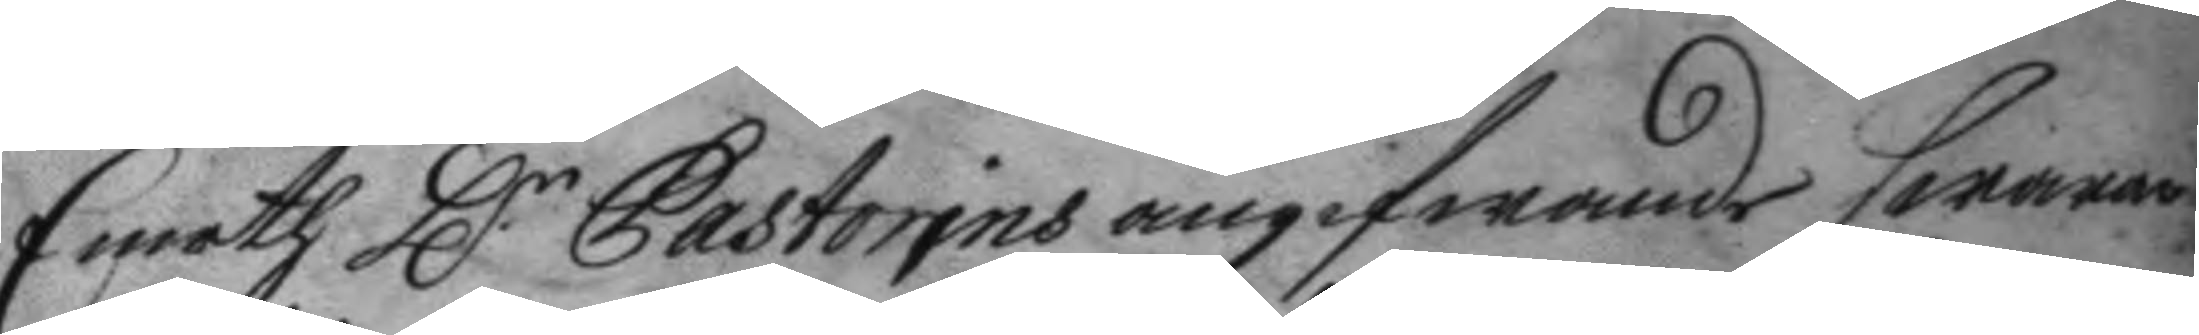Emoth H.r Pastorins angifwande swarar
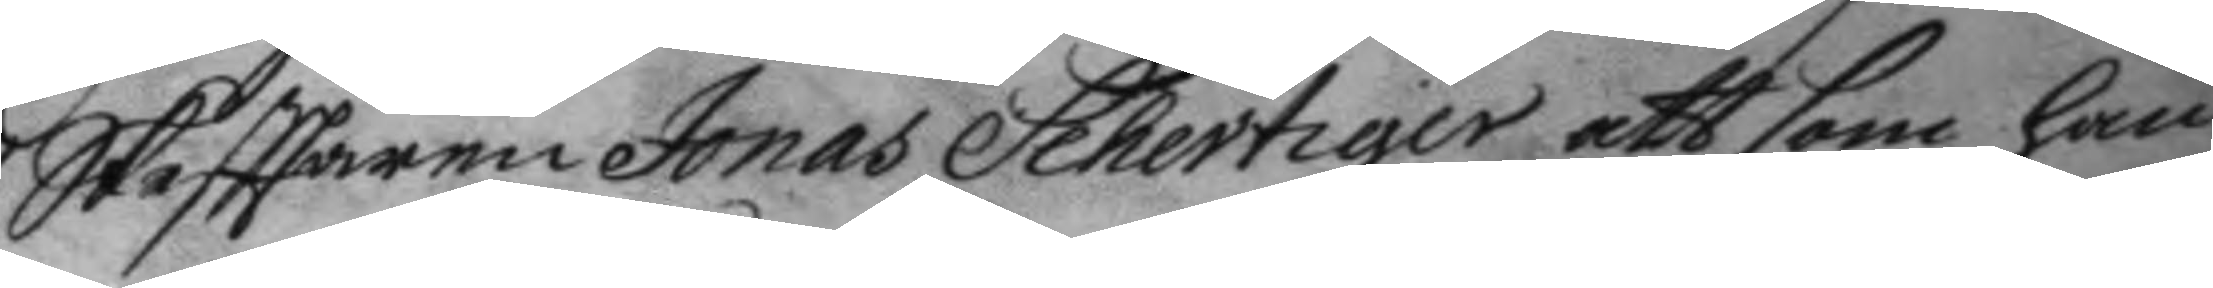Skaffaren Jonas Schertiger att som han
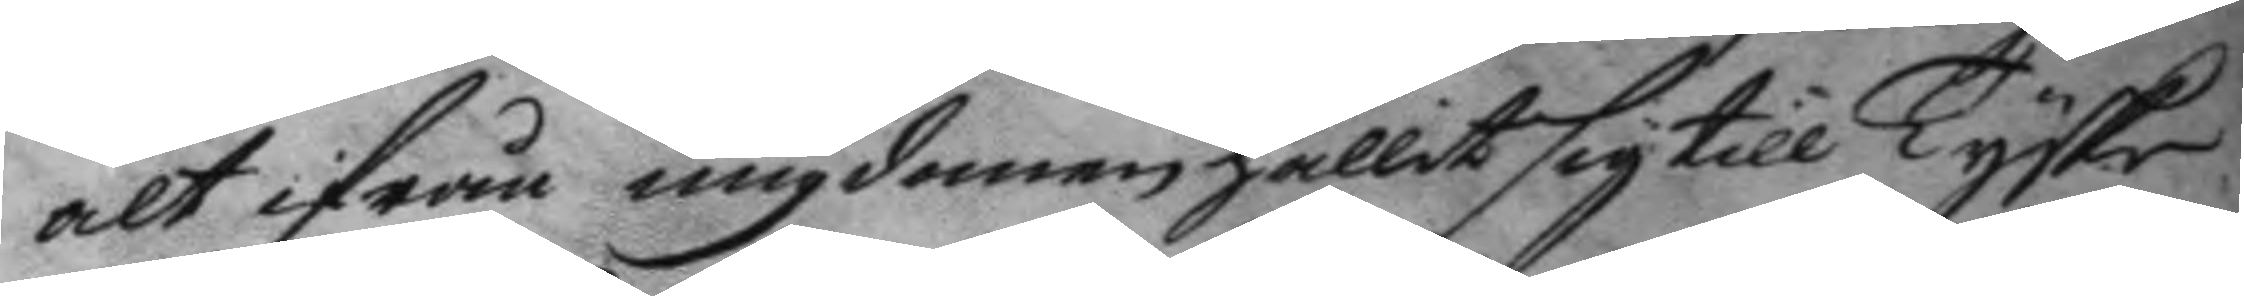alt ifrånungdomen hållit sig till Tyske
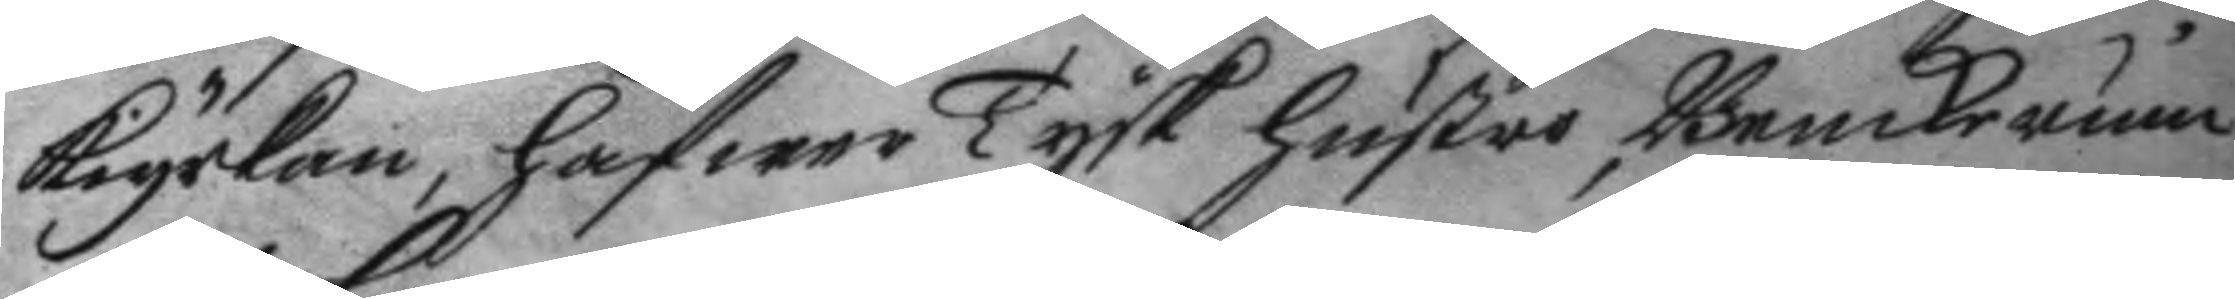kiyrkan, hafwer Tysk hustro, Benckerum
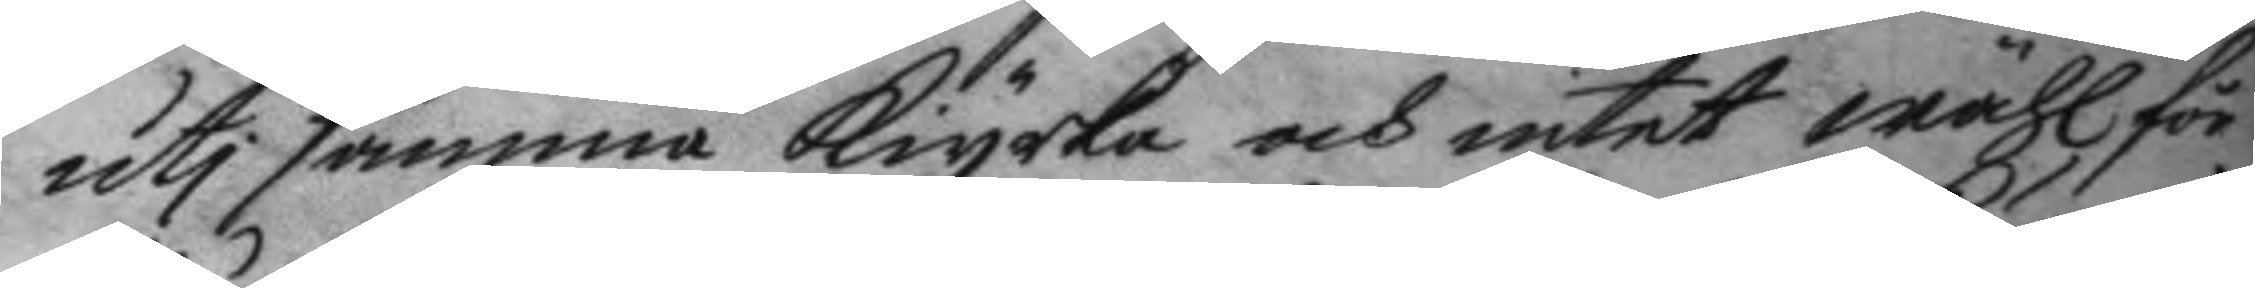uti samma kiyrka och intet wähl för¬
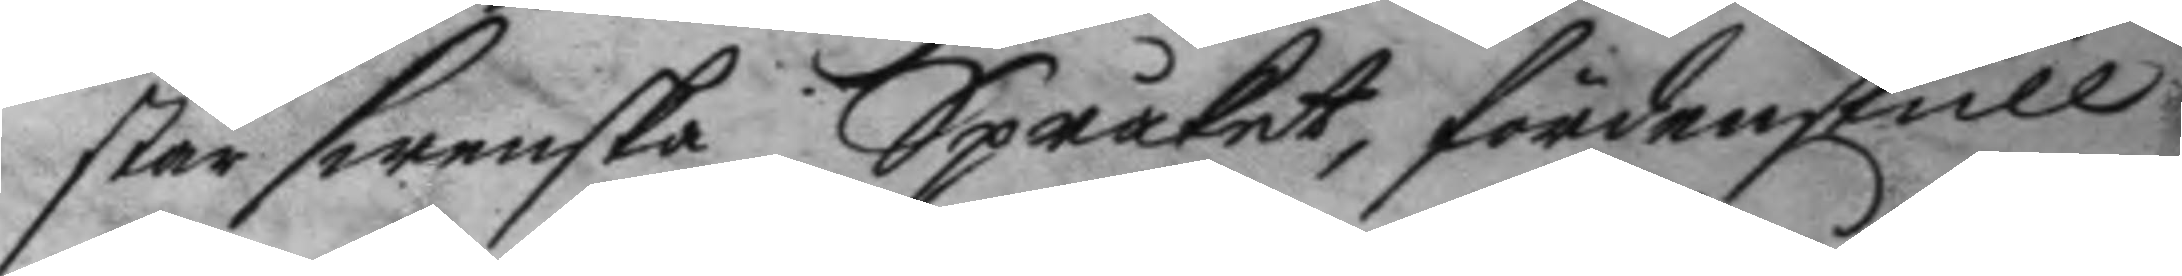står swenska Språket, fördenskull
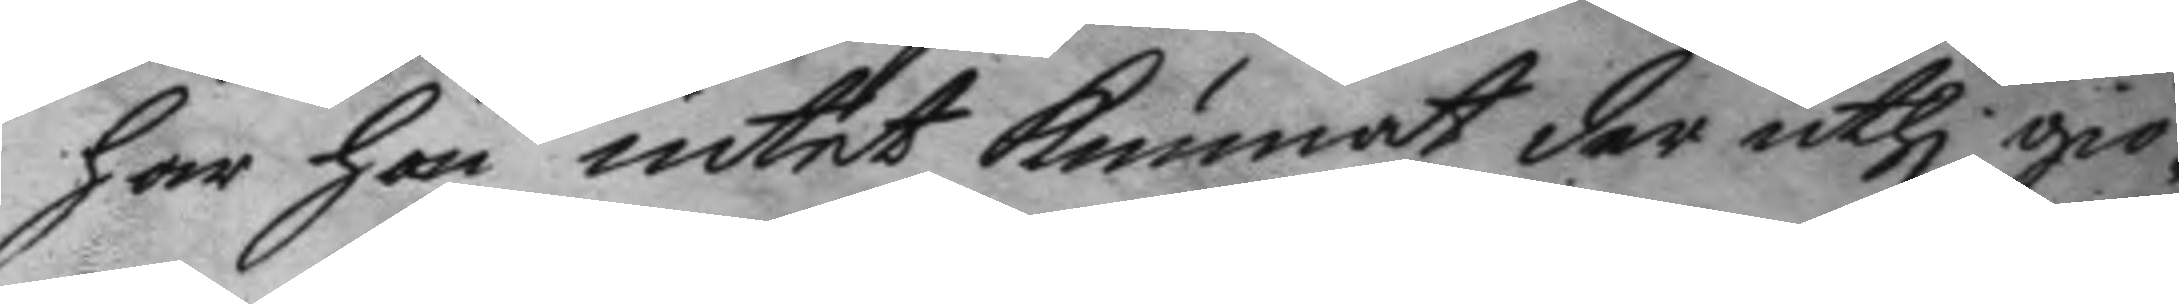har han intet kunnat der uthi giö¬
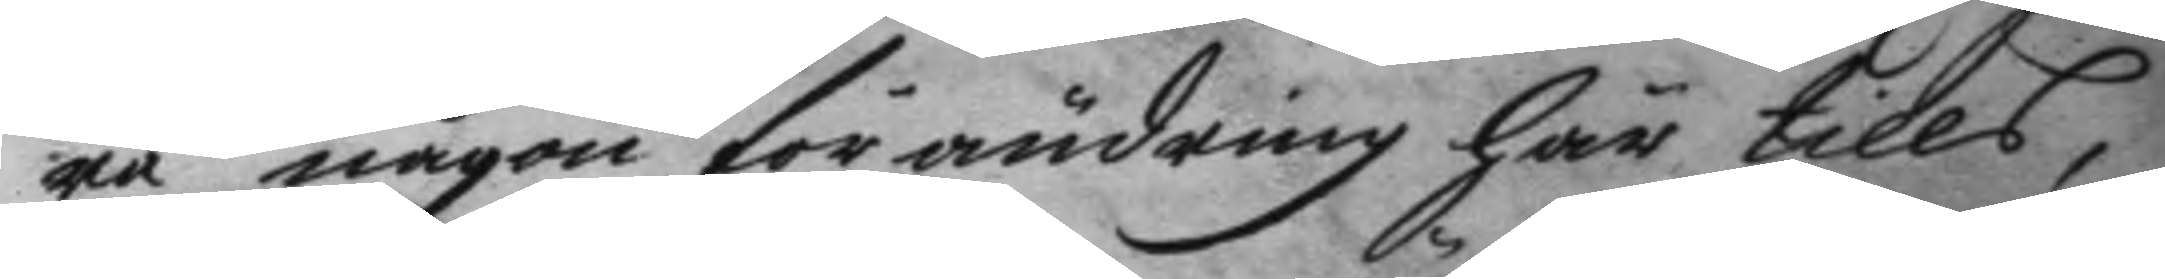ra någon förändring här tills,
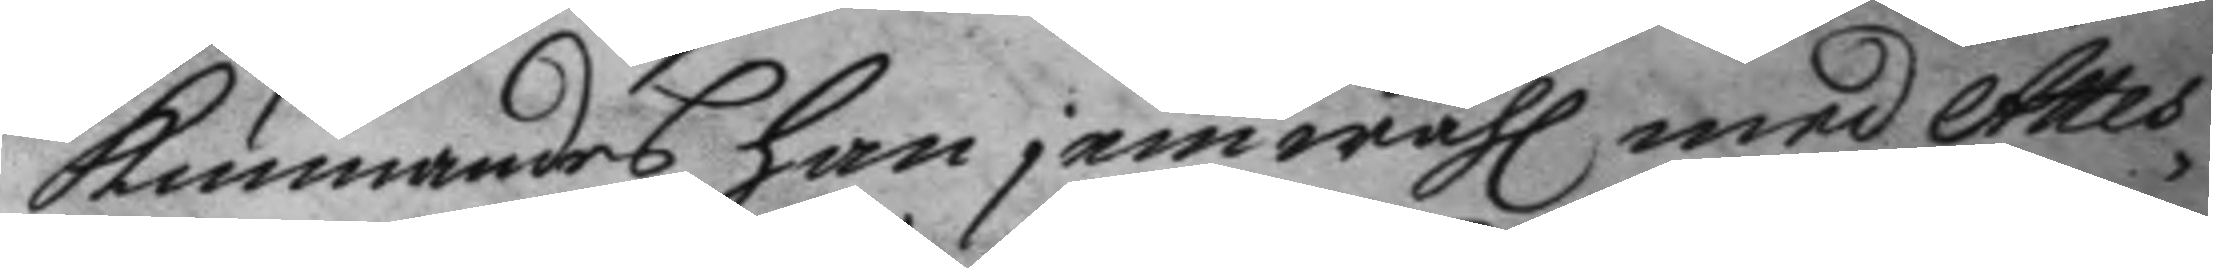kunnandes han jemwähl med Attes¬
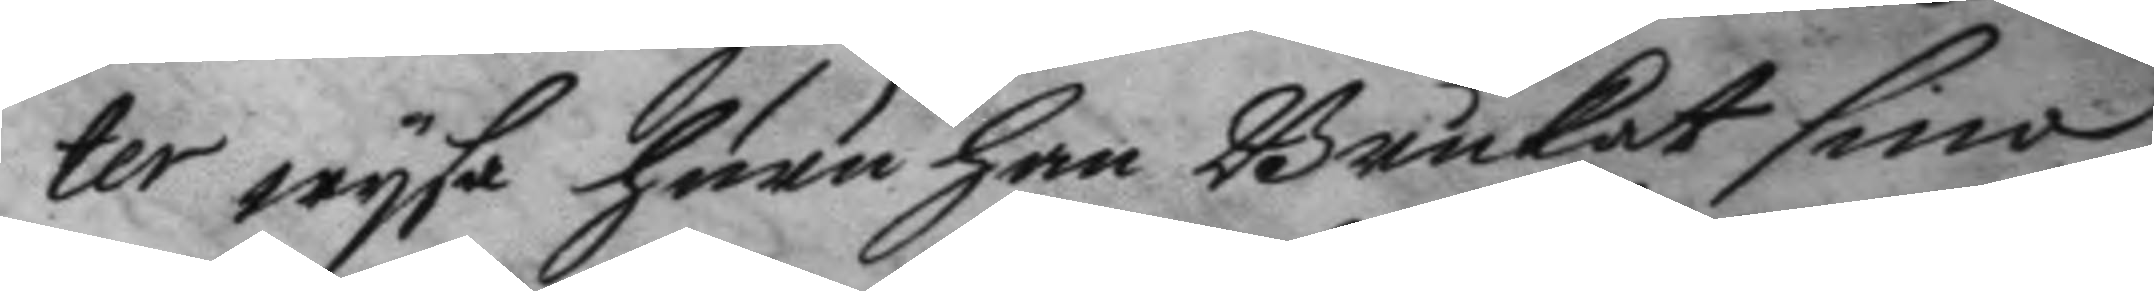ter wysa huru han Brukat sina
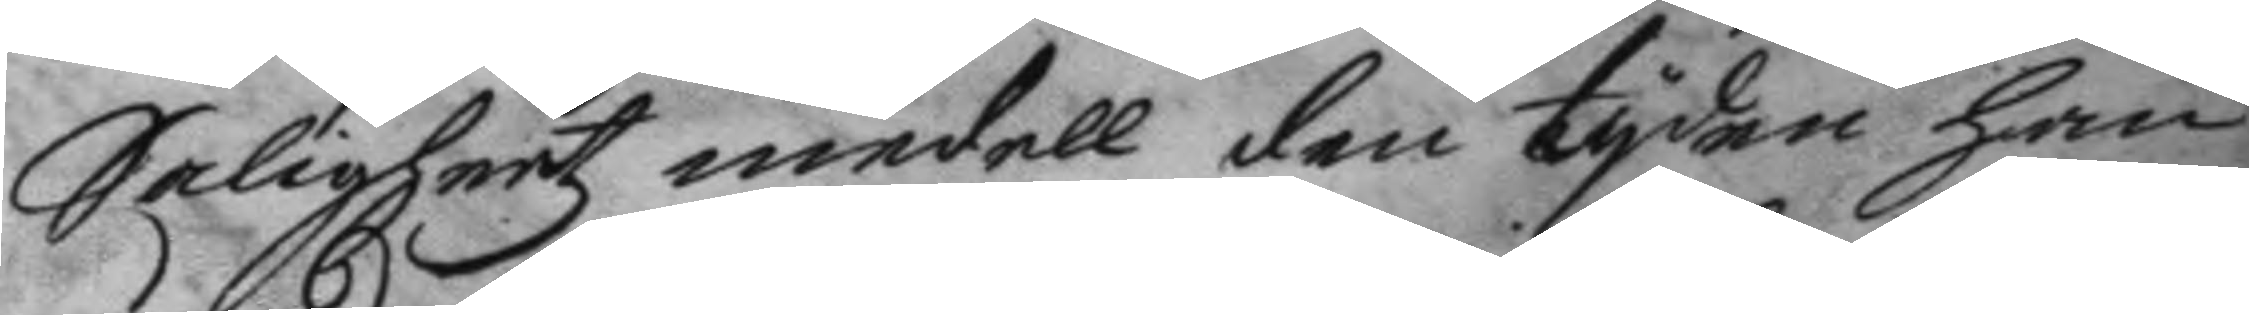Saligheetz medell den tyden han
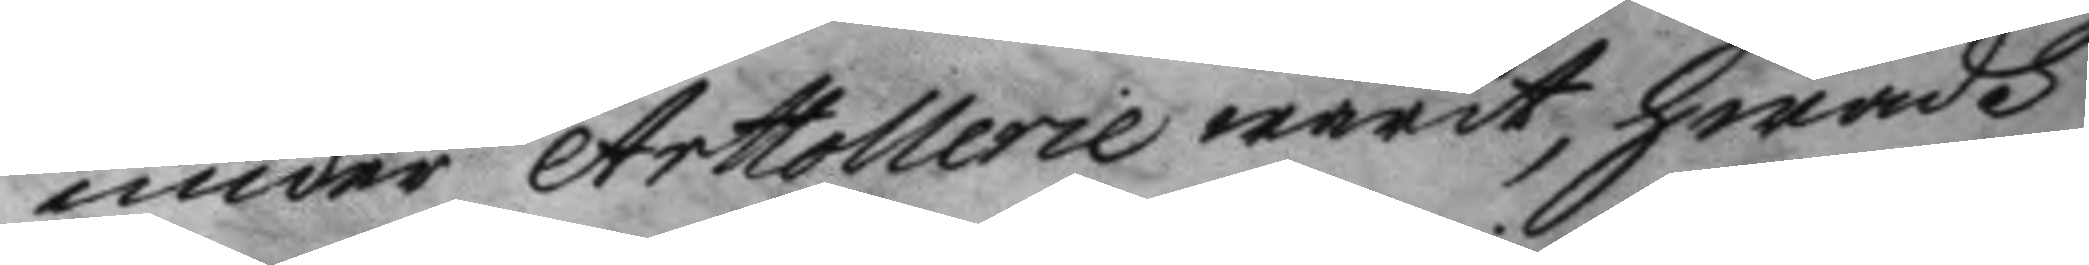under Artollerie warit, hwadh
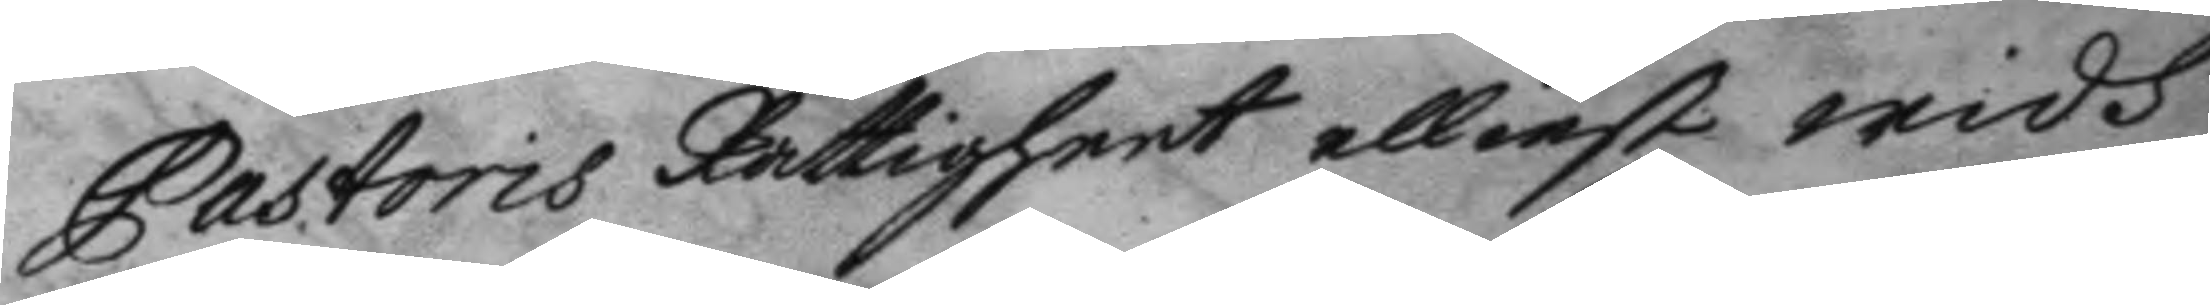Pastoris Rättigheet elliest widh
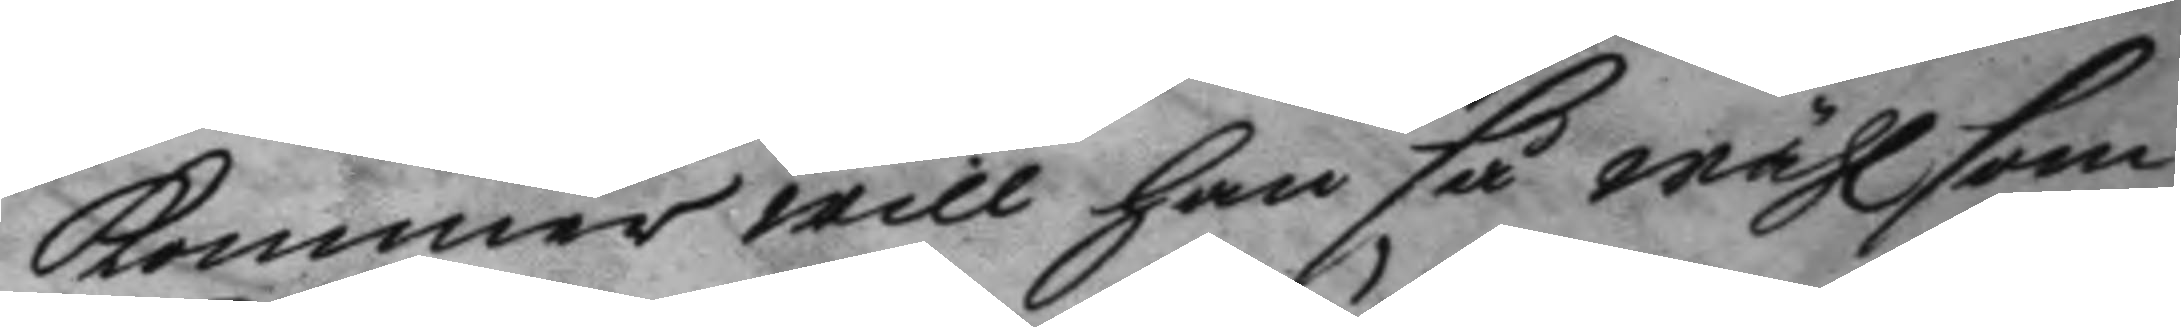kommer will han så wähl som
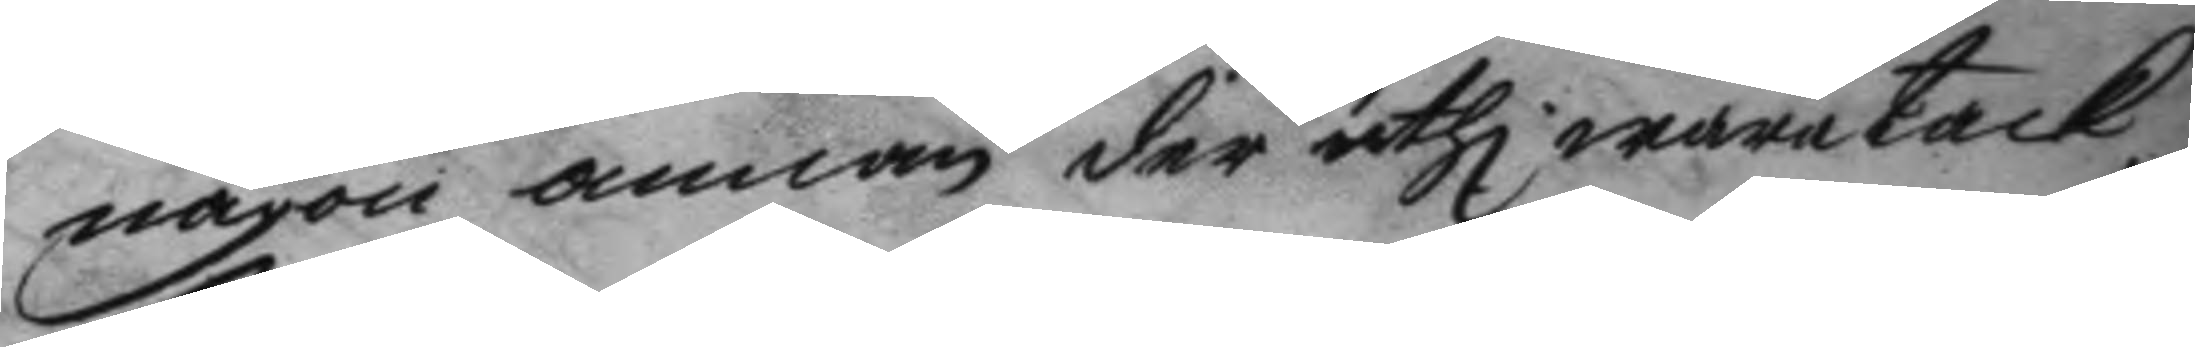någon annan der uthi wara tack¬
